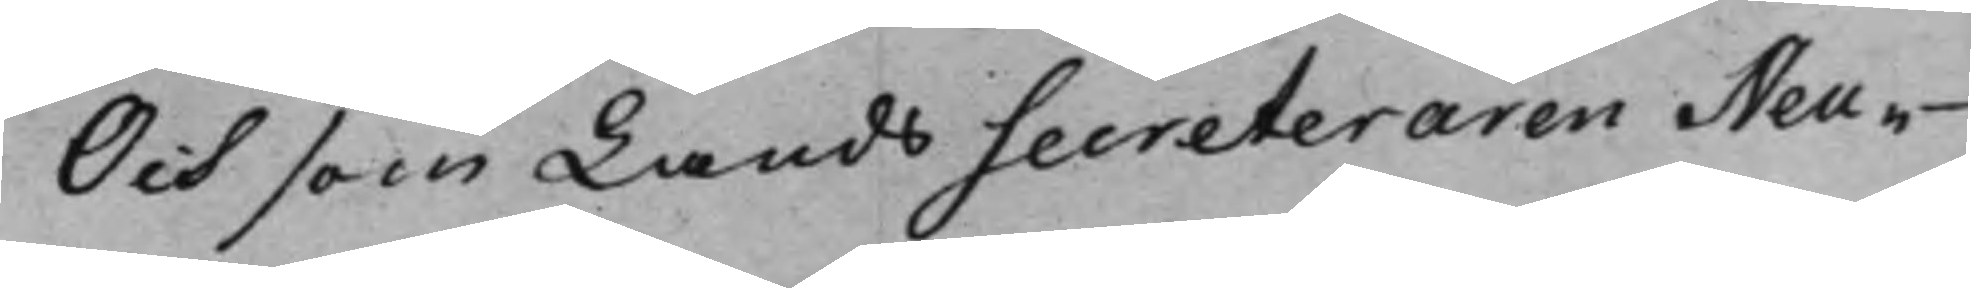Och som LandsSecreteraren Neu¬
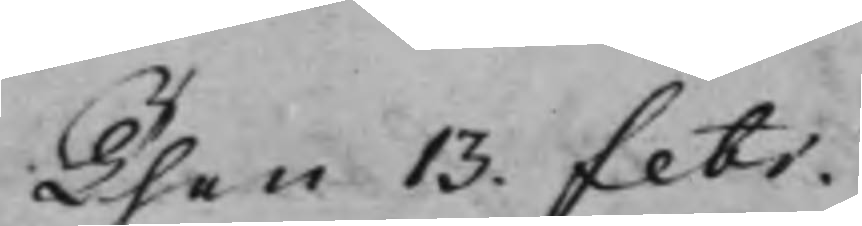Then 13. Febr.
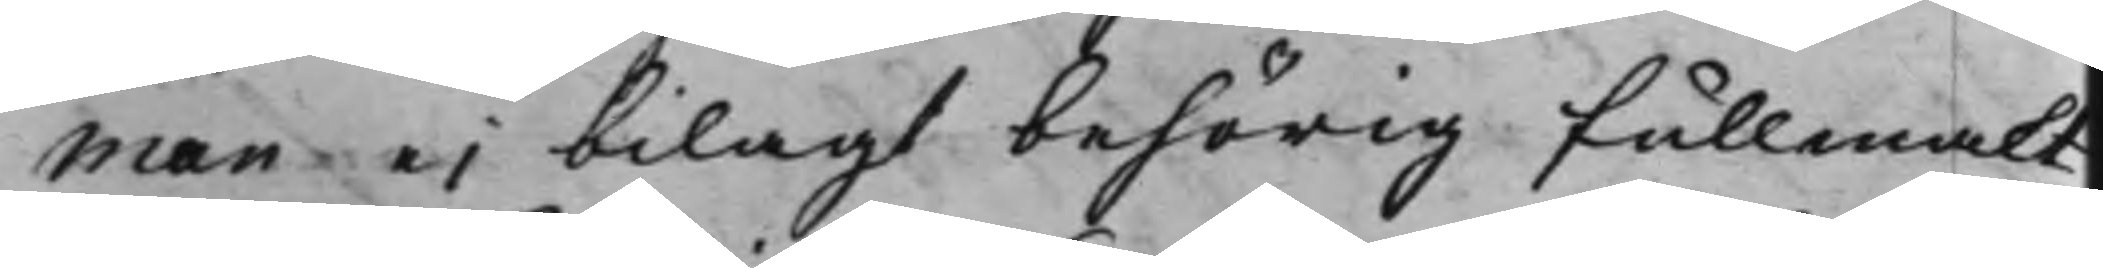man ei bilagt behörig fullmakt
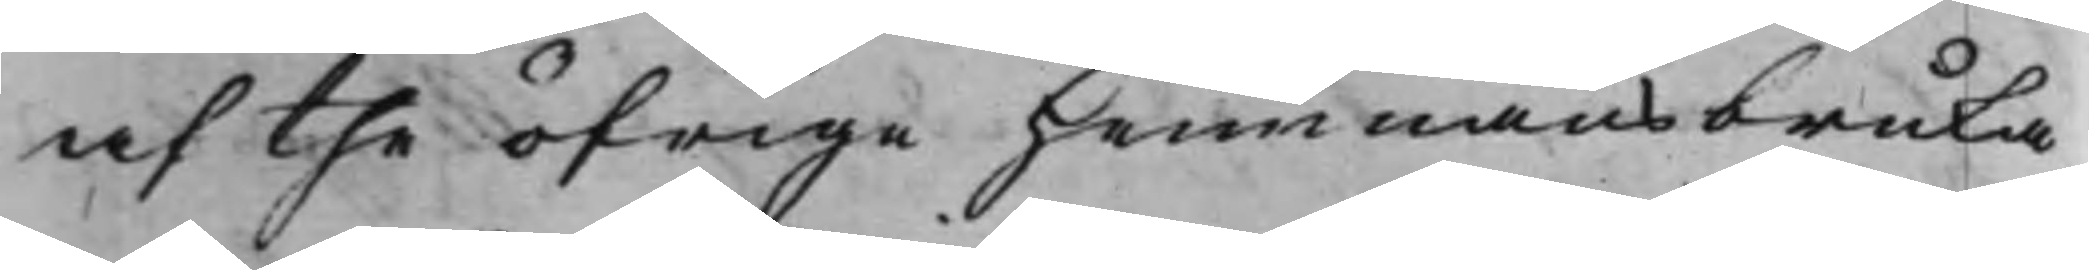af the öfrige Hemmansbruka¬
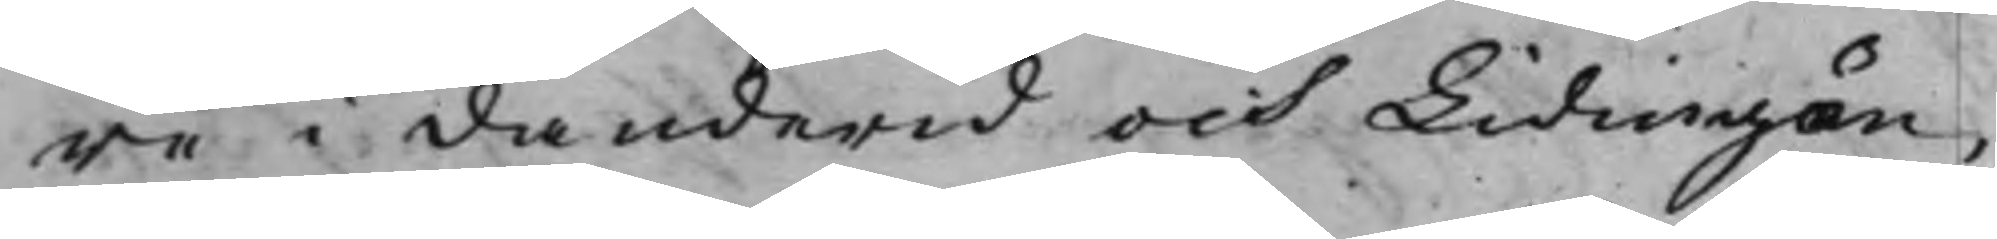re i Danderid och Lidingön,
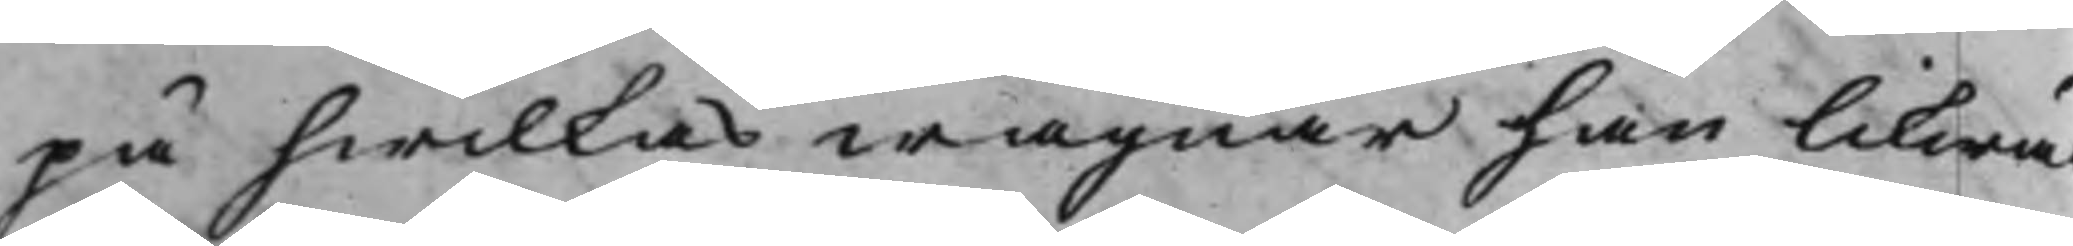på hwilkas wägnar han likwäl
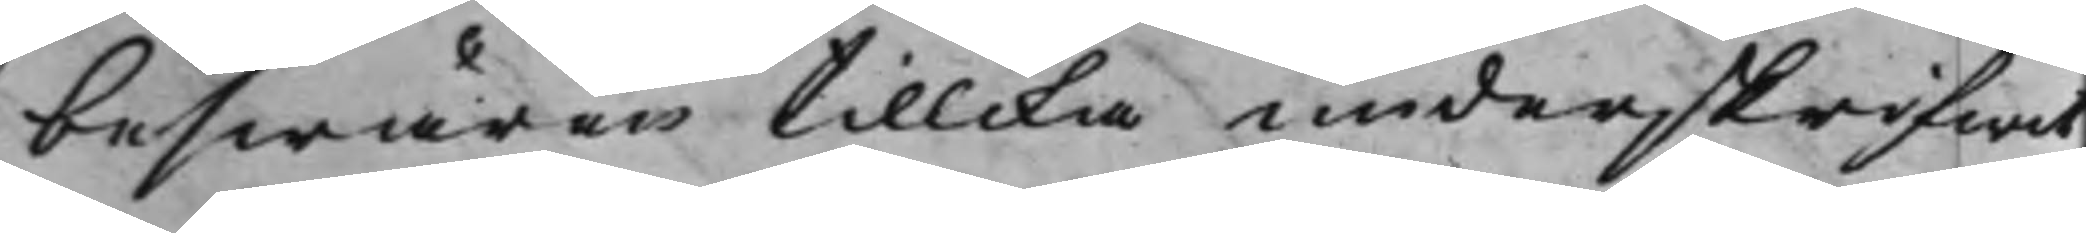beswären tillika underskrifwit,
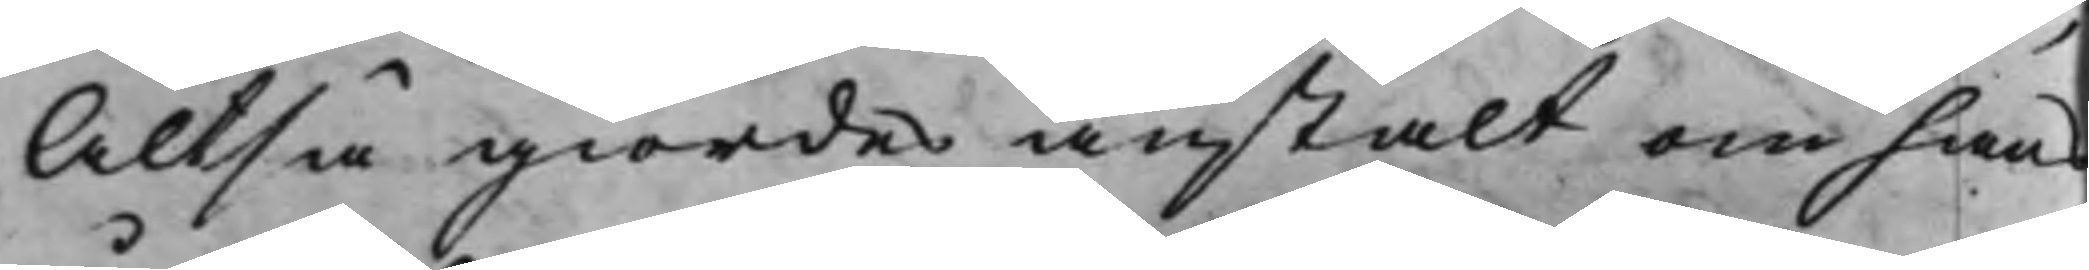Altså giordes anstalt om hans
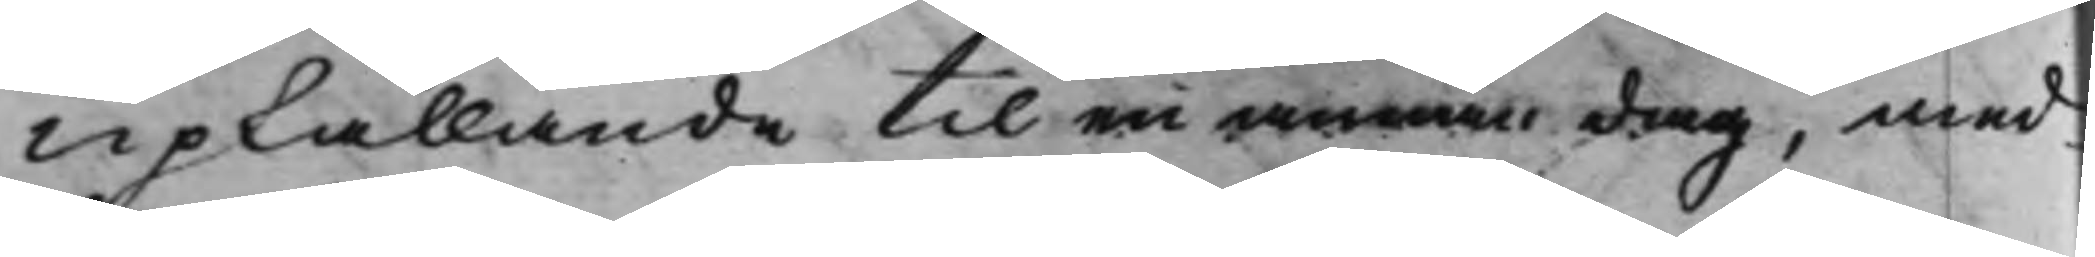upkallande til en annan dag, med
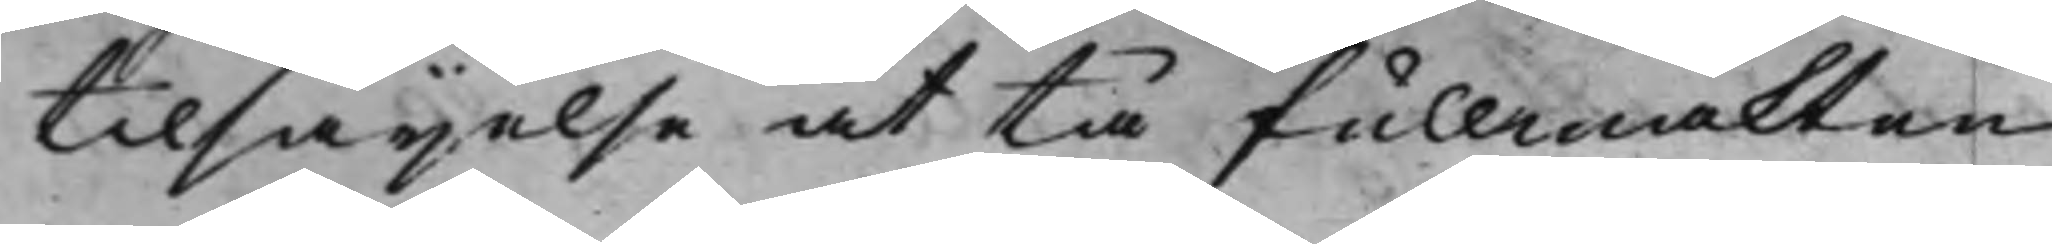tilsägelse at tå fullmakten
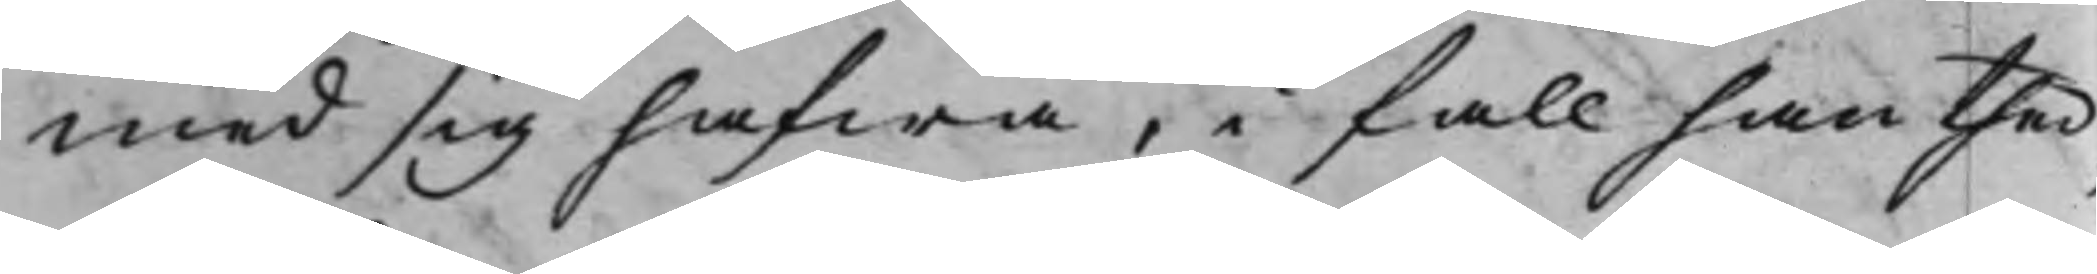med sig hafwa, i fall han ther¬
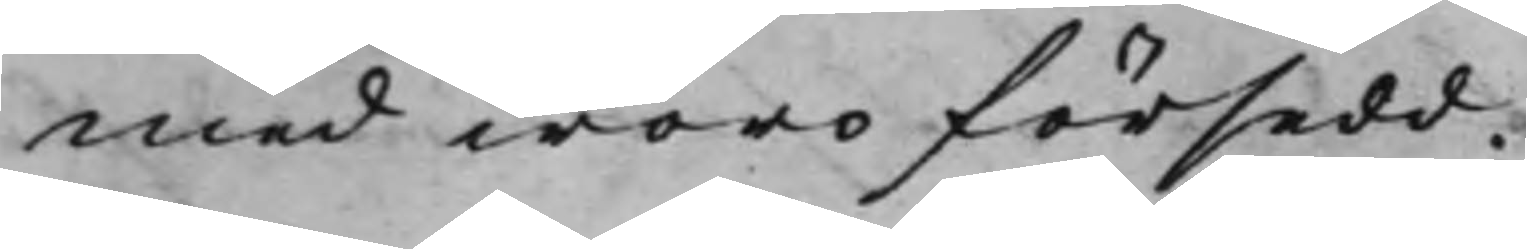med woro försedd.
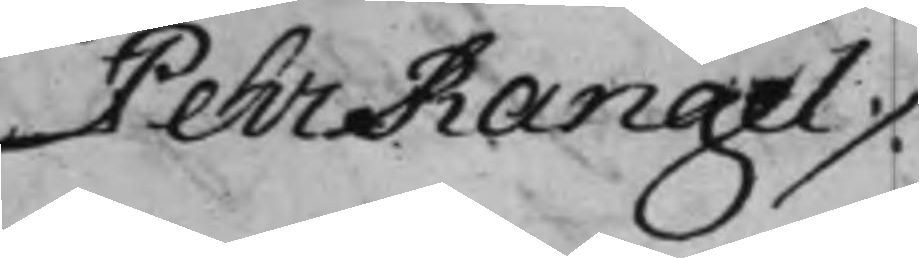Pehr Rangel ./.
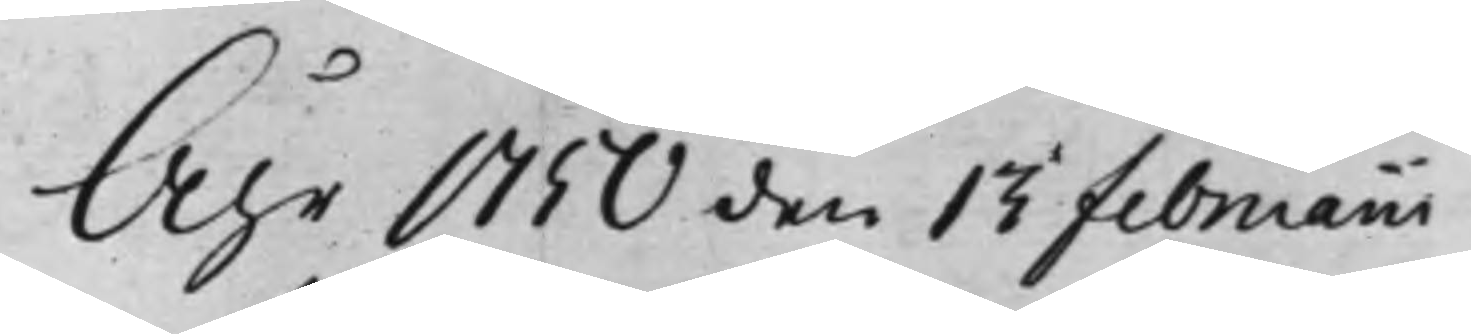Åhr 1750 den 13 Februarii
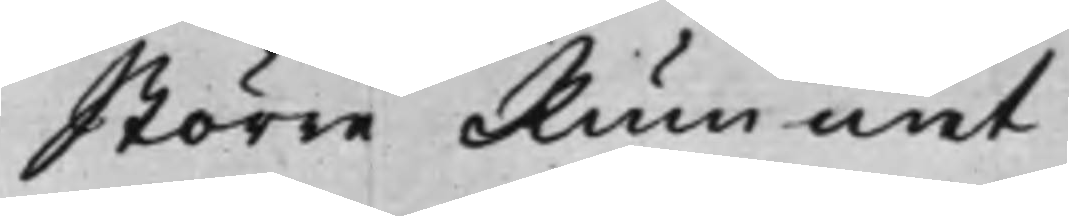Större Rummet
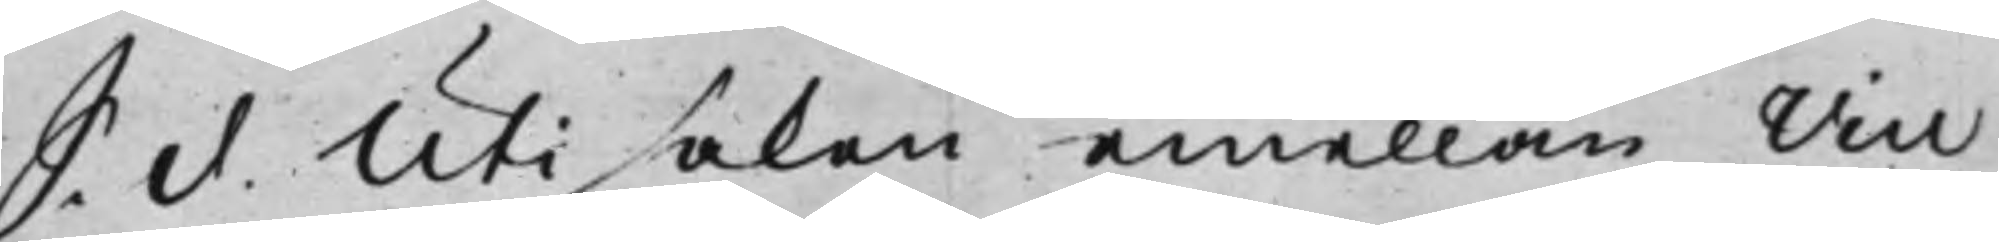S. d. Uti saken emellan Vice
